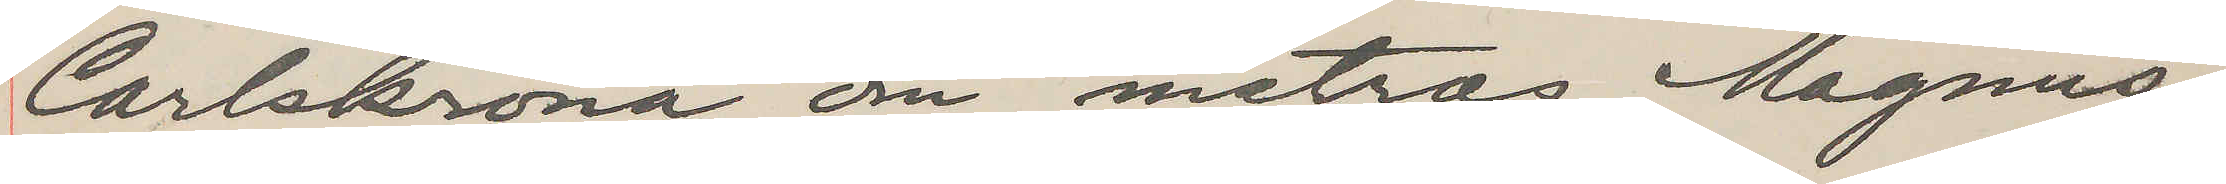Carlskrona om matros Magnus¬
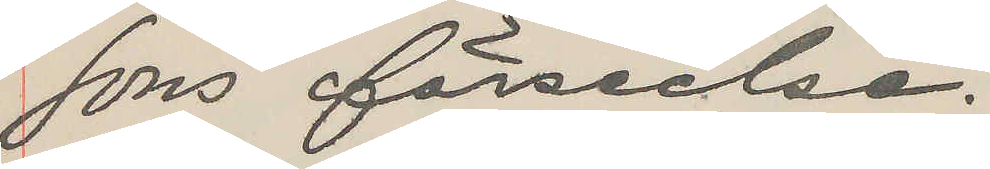sons förseelse.
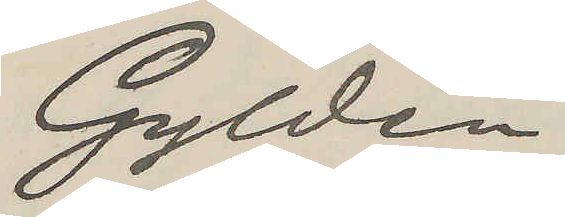Gyldén
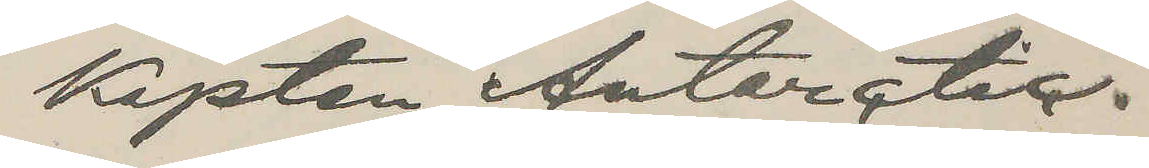Kapten, Antarctic.
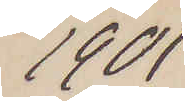1901
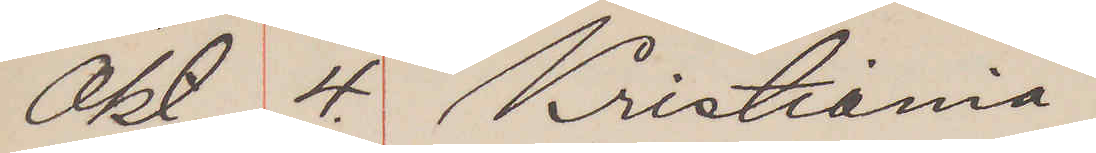Okt. 4. Kristiania
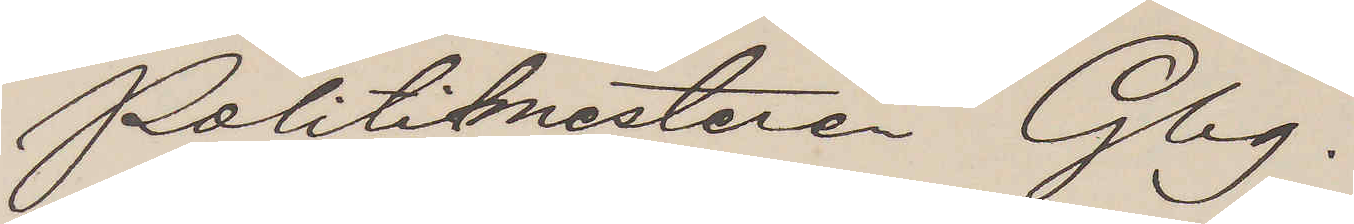Politimesteren Gbg.
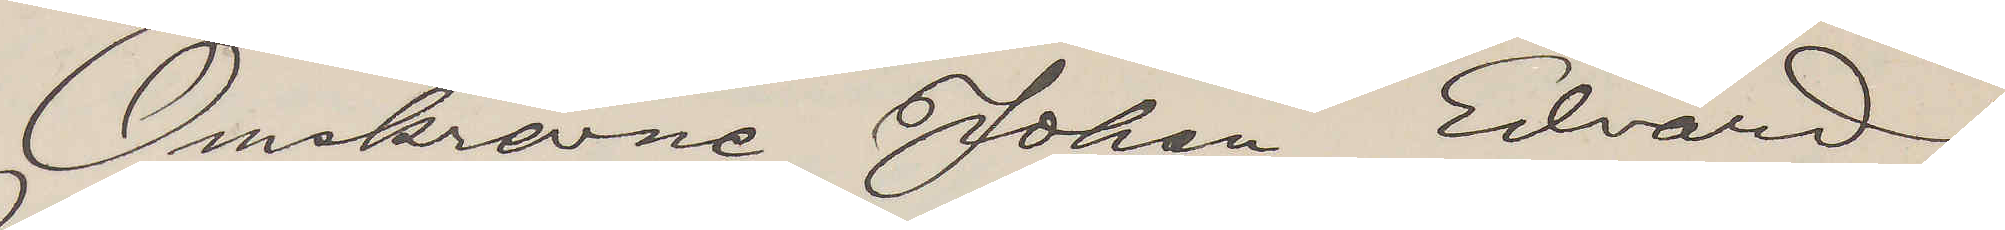Omskrevne Johan Edvard
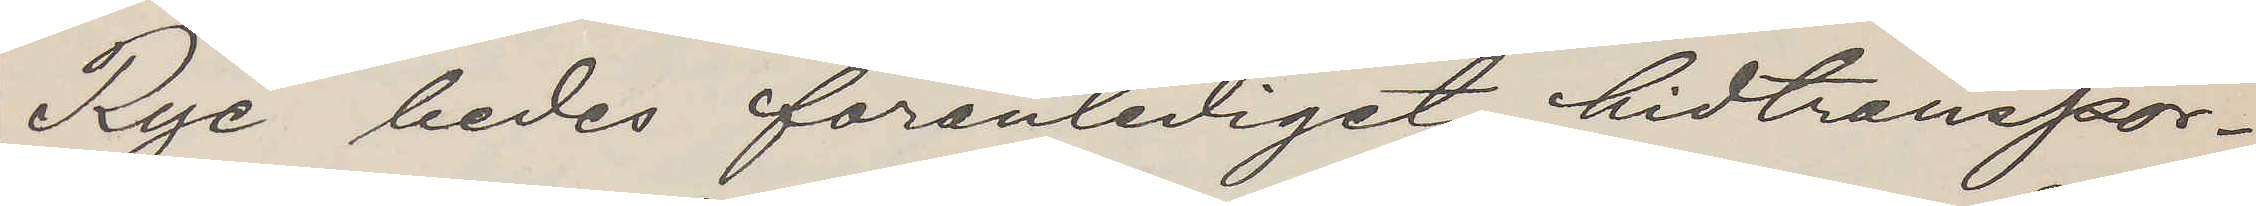Rye bedes foranlediget hidtranspor¬
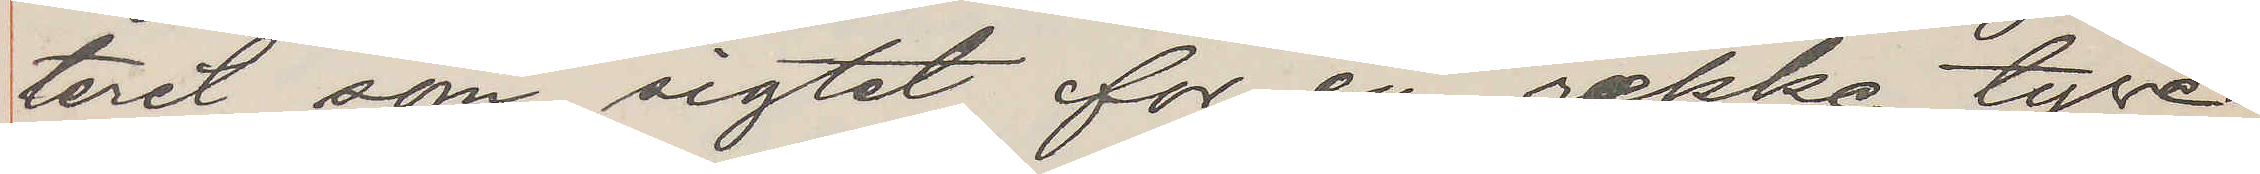teret som sigtet for en rakke tyve¬
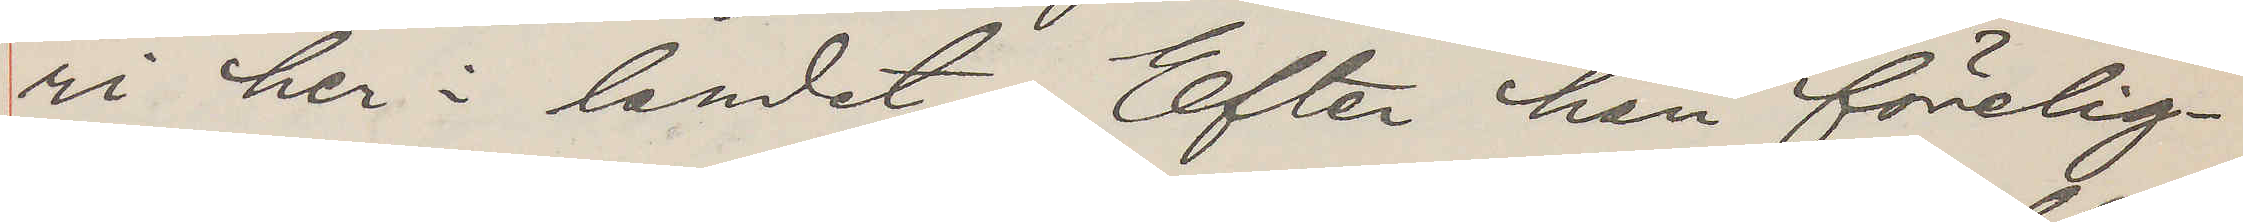ri her i landet. Efter han förelig¬
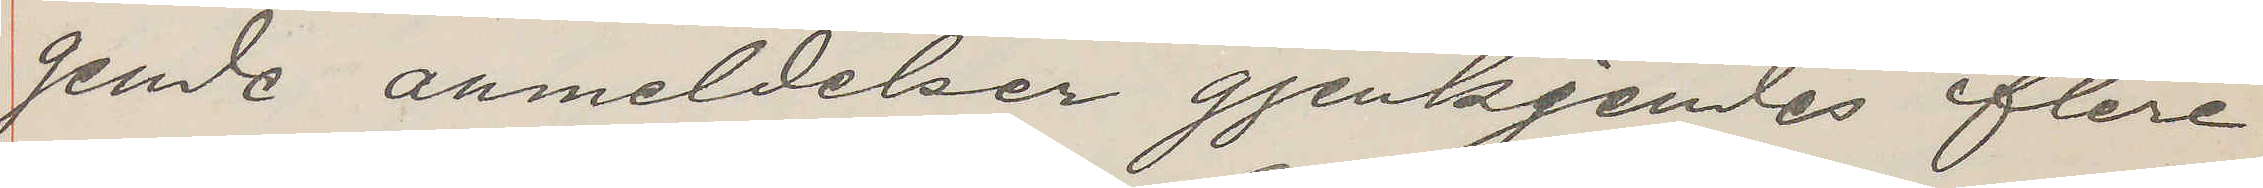gende anmeldelser gjenkjendes flere
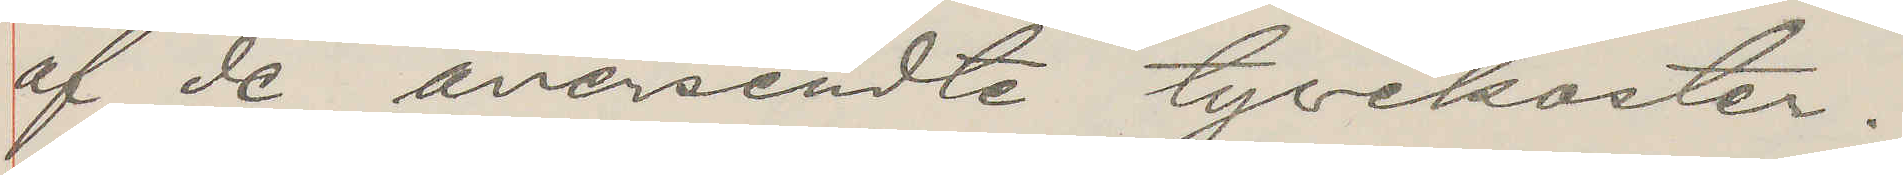af de oversendte tyvekoster.
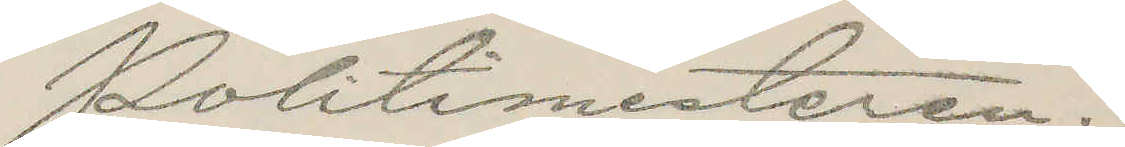Politimesteren.
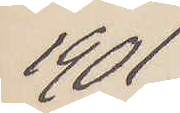1901
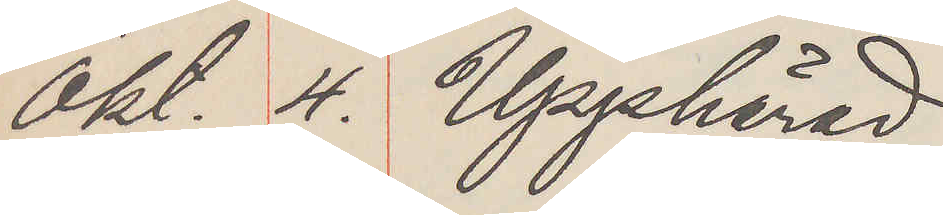Okt. 4. Upphärad
